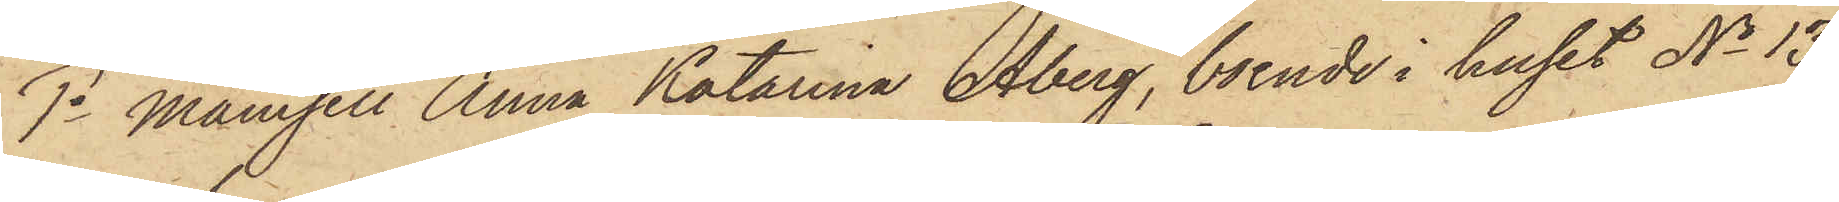1o Mamsell Anna Katarina Åberg, boende i huset No 13
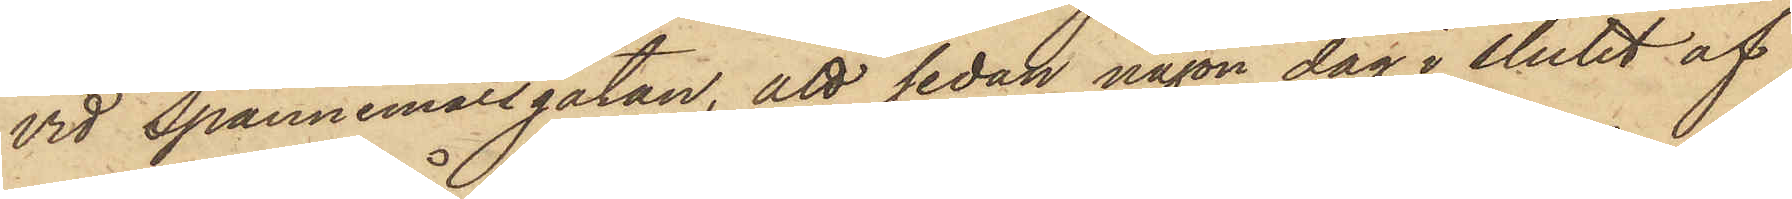vid Spannemålsgatan, att sedan någon dag i slutet af
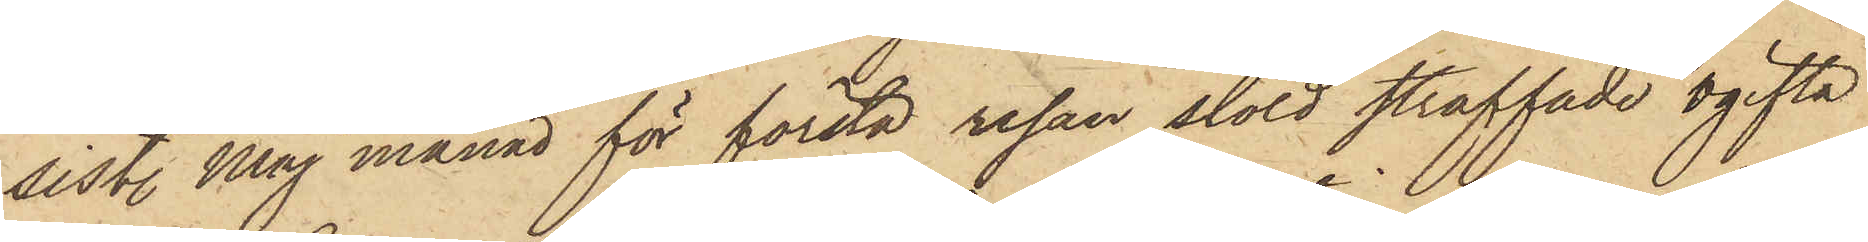sist. Maj månad för första resan stöld straffade ogifta
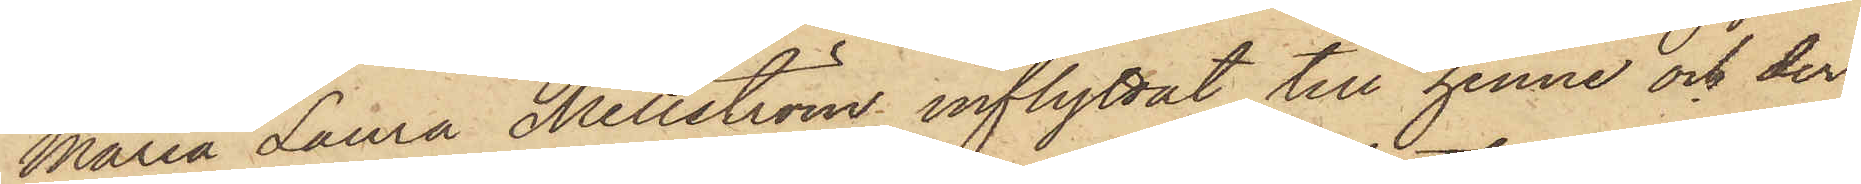Maria Laura Mellström inflyttat till henne och der
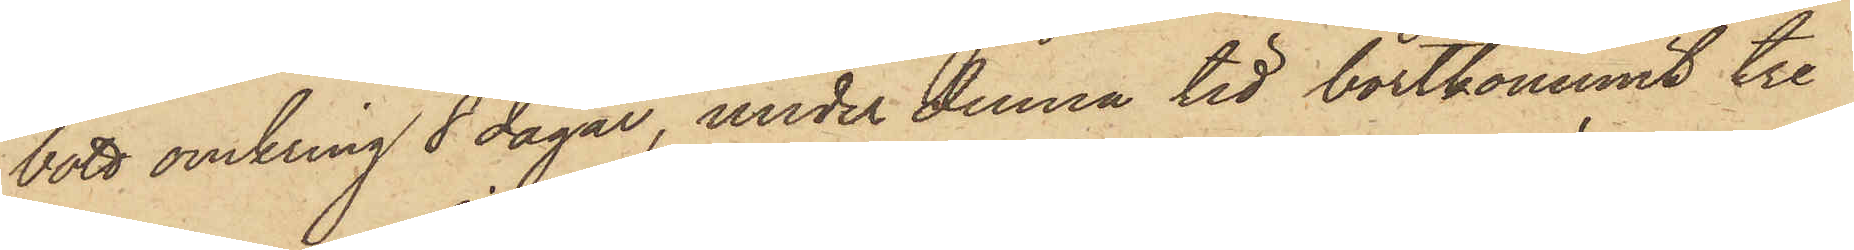bott omkring 8 dagar, under denna tid bortkommit tre
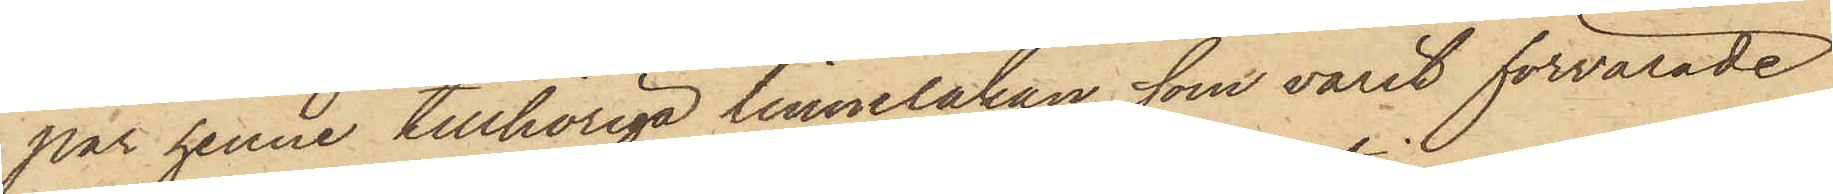par henne tillhöriga linnelakan, som varit förvarade
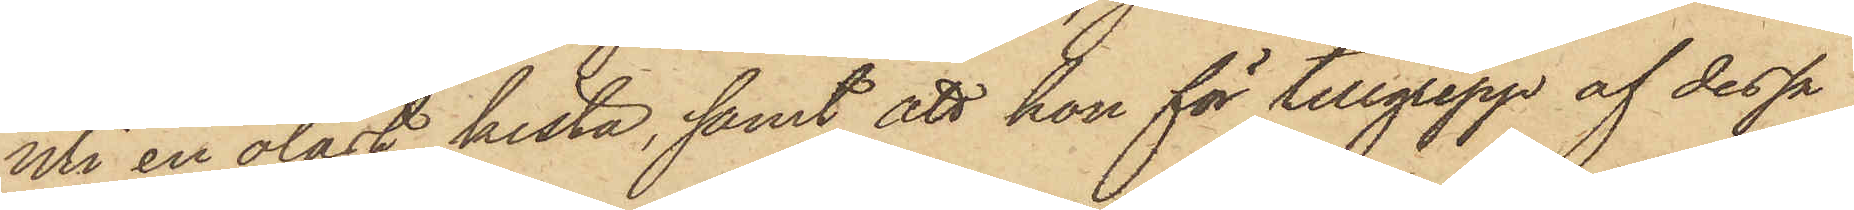uti en olåst kista, samt att hon för tillgrepp af dessa
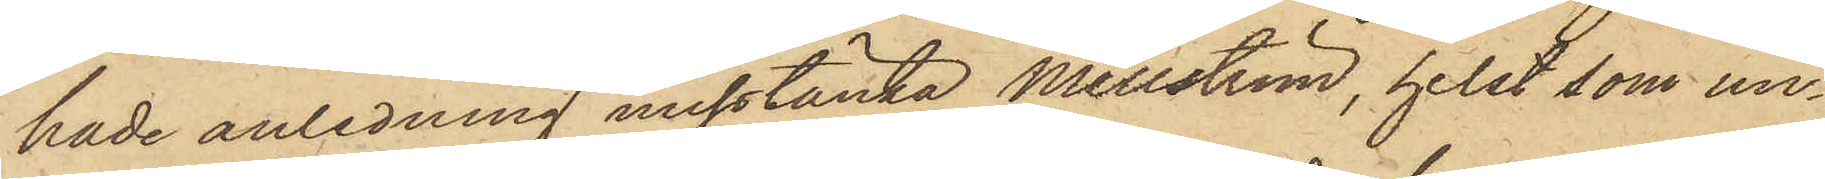hade anledning misstänka Mellström, helst som un¬
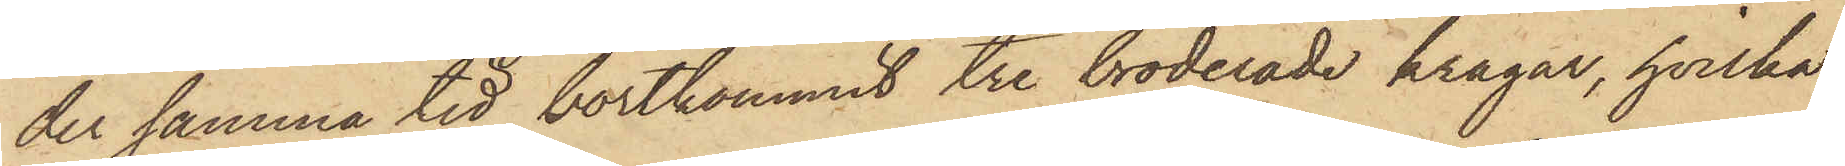der samma tid bortkommit tre broderade kragar, hvilka
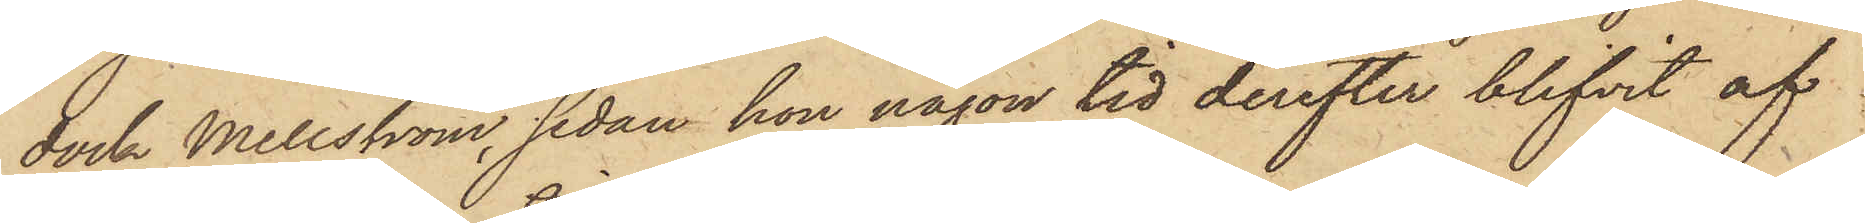dock Mellström, sedan hon någon tid derefter blifvit af
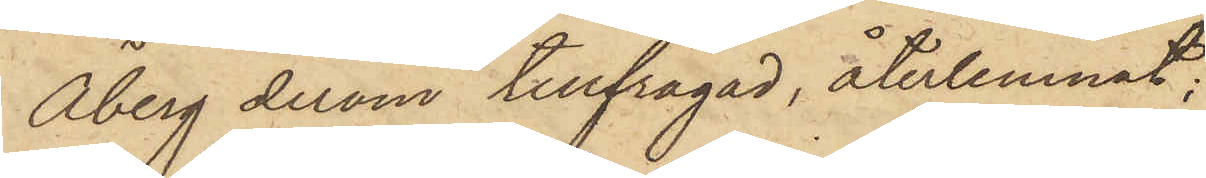Åberg derom tillfrågad, återlemnat;
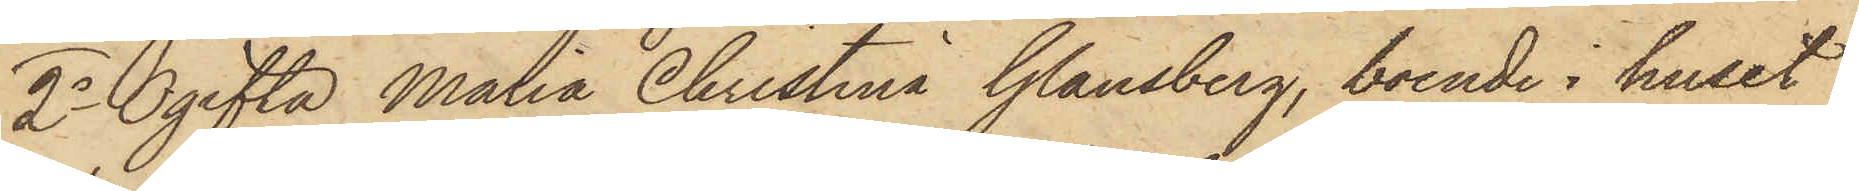2o Ogifta Maria Christina Glansberg, boende i huset
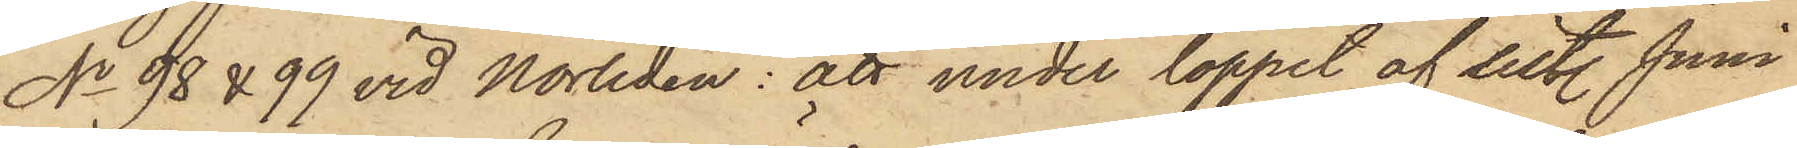No 98 & 99 vid Norliden: att under loppet af sistl. Juni
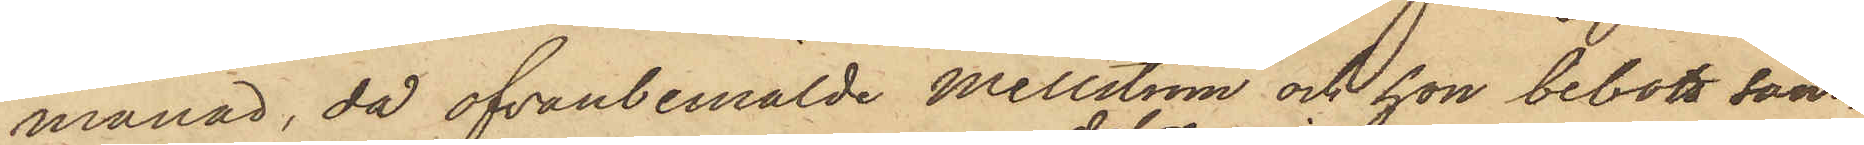månad, då ofvanbemälde Mellström och hon bebott sam¬
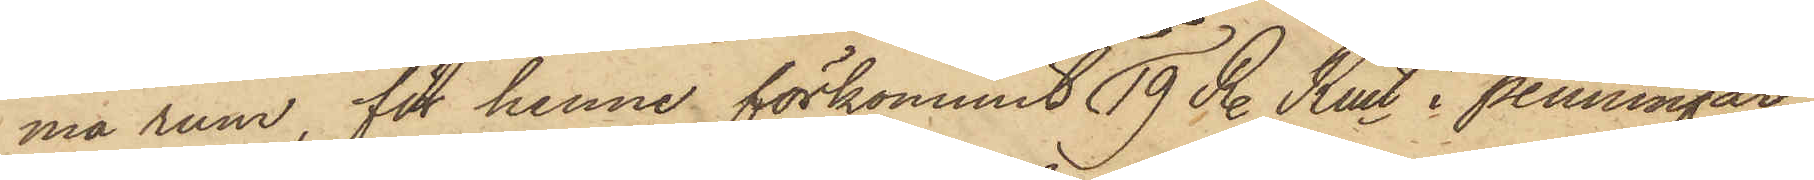ma rum, för henne förkommit dels19 R. Rmt i penningar,
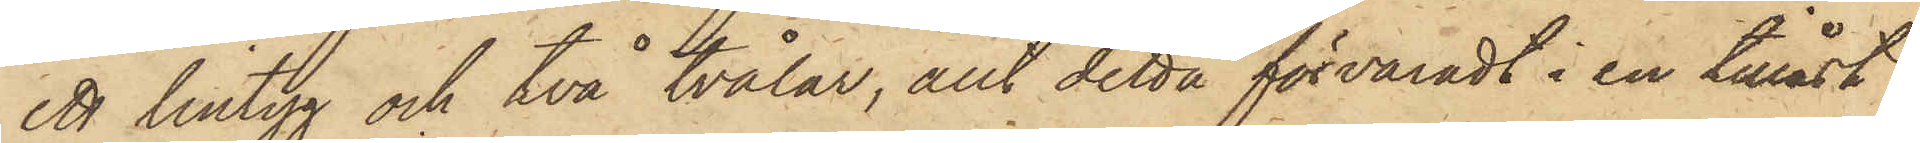ett lintyg och två tvålar, allt detta förvaradt i en tillåst
